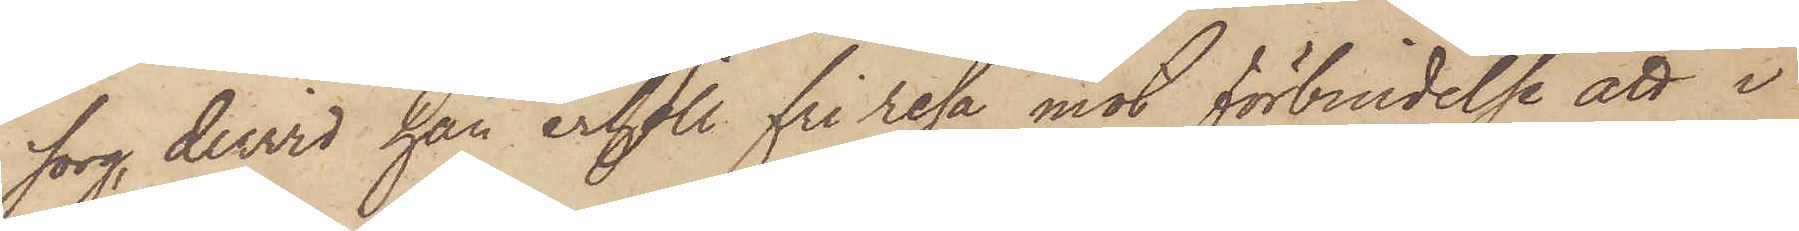sorg dervid han erhöll fri resa mot förbindelse att i
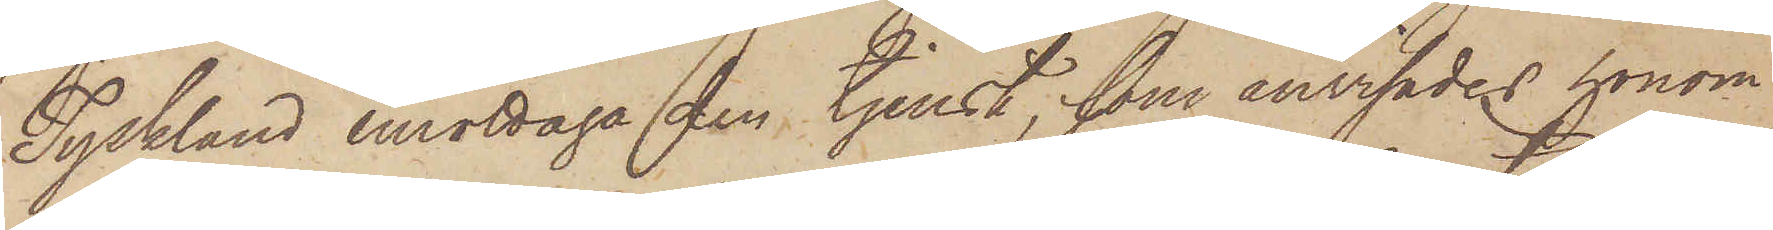Tyskland emottaga den tjenst, som anvisades honom
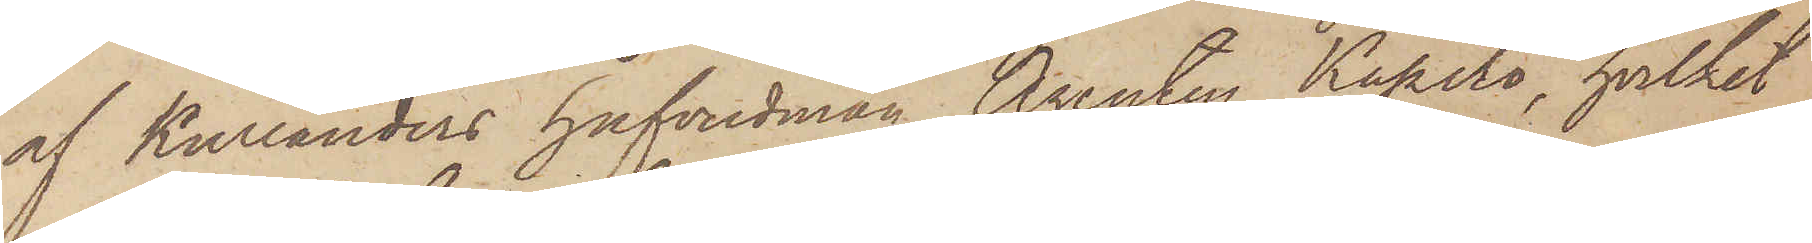af Kullanders hufvudman Agenten Kapits, hvilket
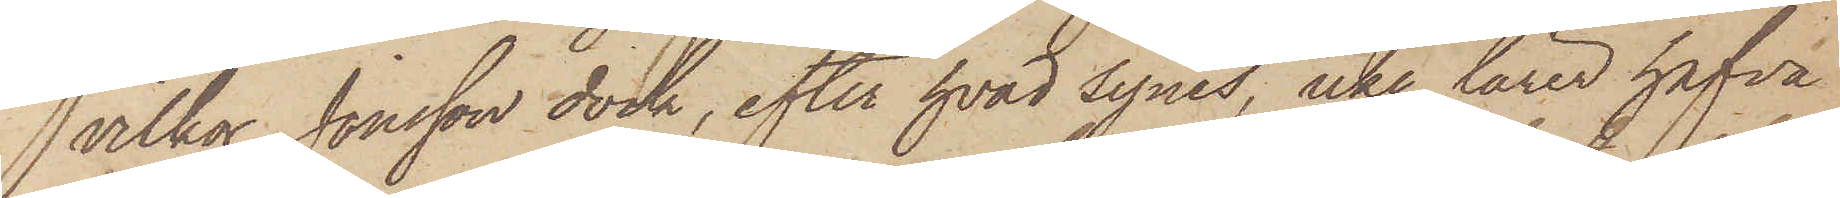vilkor Jonsson dock, efter hvad synes, icke lärer hafva
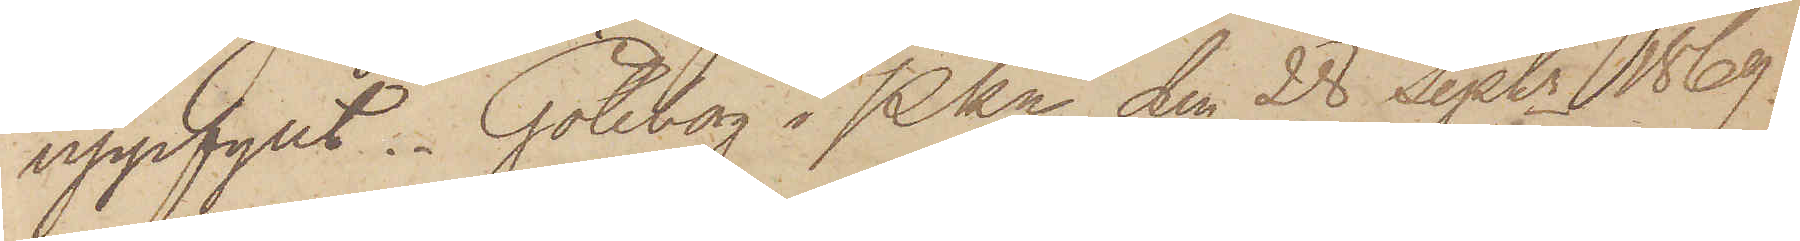uppfyllt. Göteborg i Pkn den 28 sist. Septr 1869.
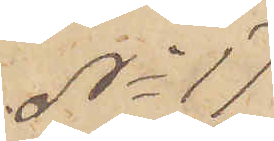No 17
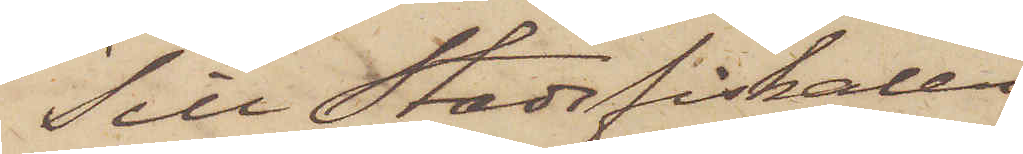Till Stadsfiskalen
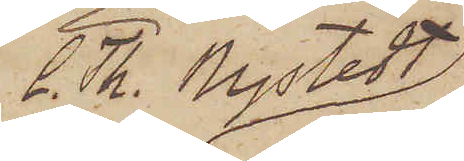C. Th. Nystedt
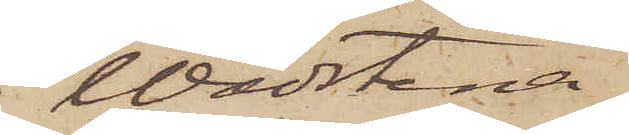i Wadstena
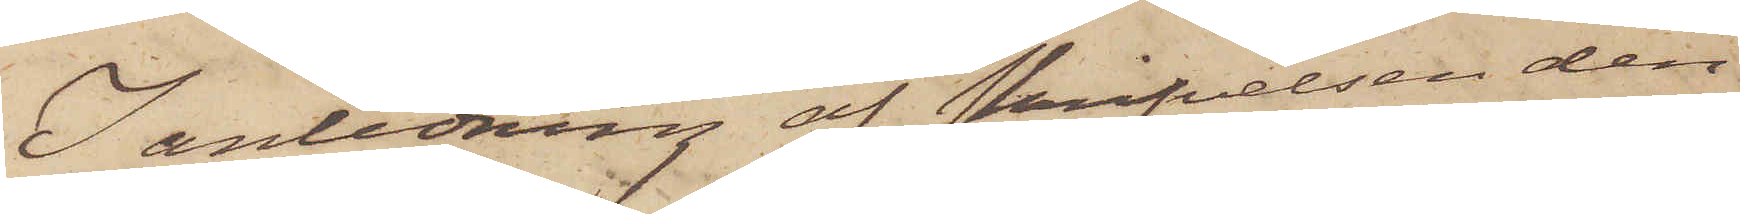I anledning af Skrifvelsen den
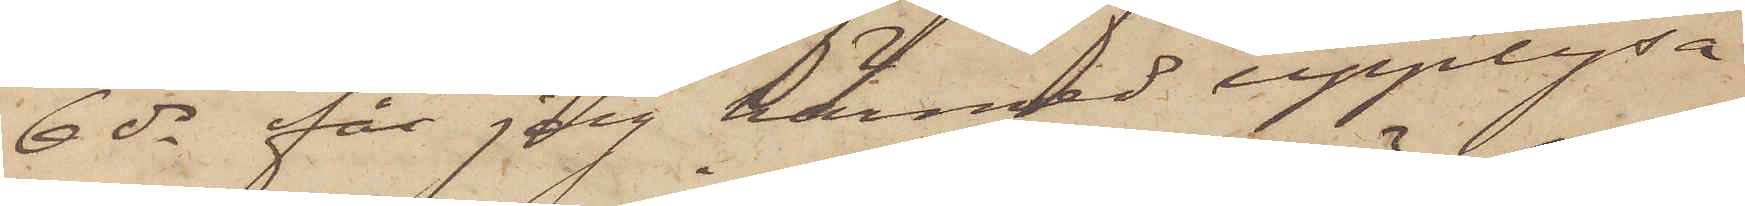6 ds får jag härmed upplysa
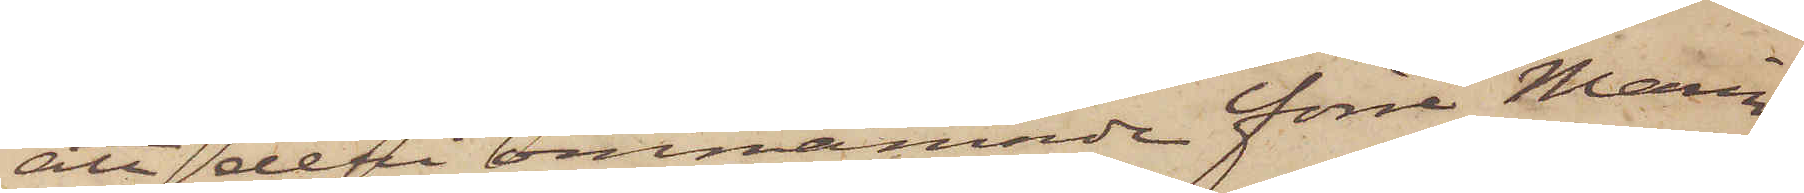att deri omnämnde förre Marin¬
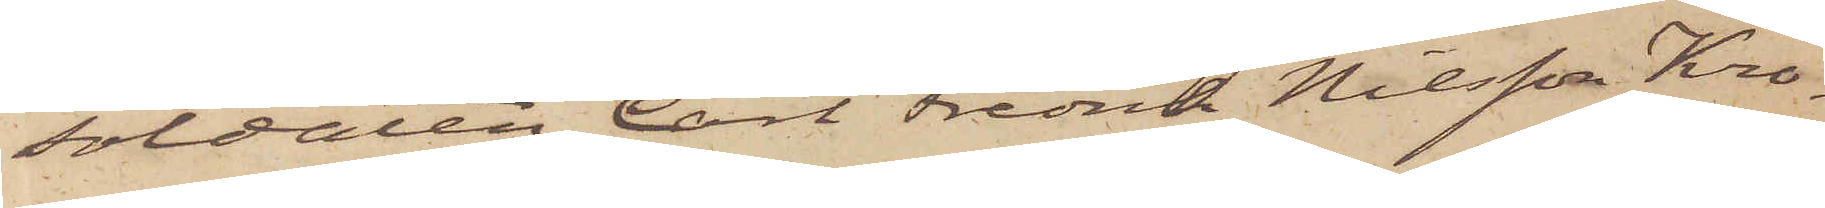soldaten Carl Fredrik Nilsson Kro¬
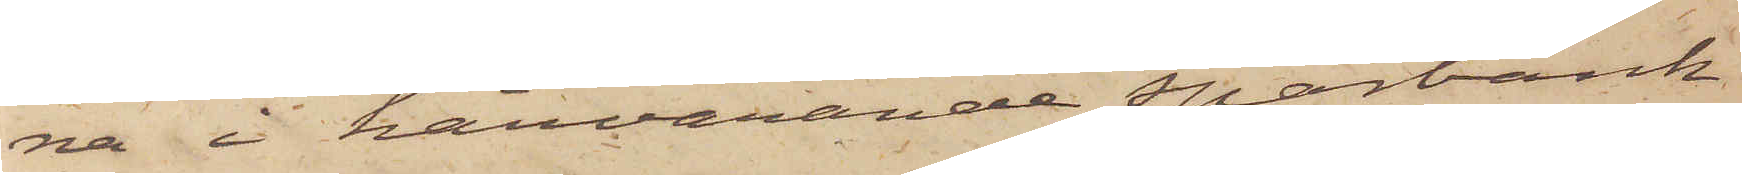na i härvarande Sparbank
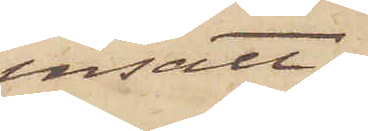insatt
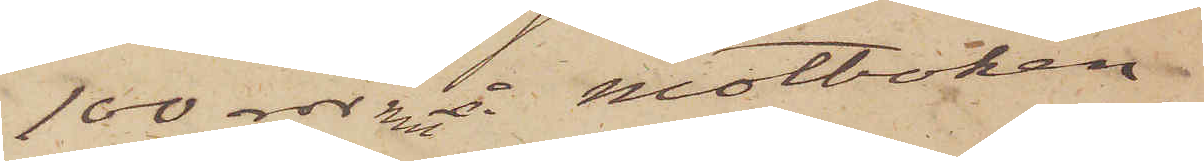100 rdr rmt å motboken
